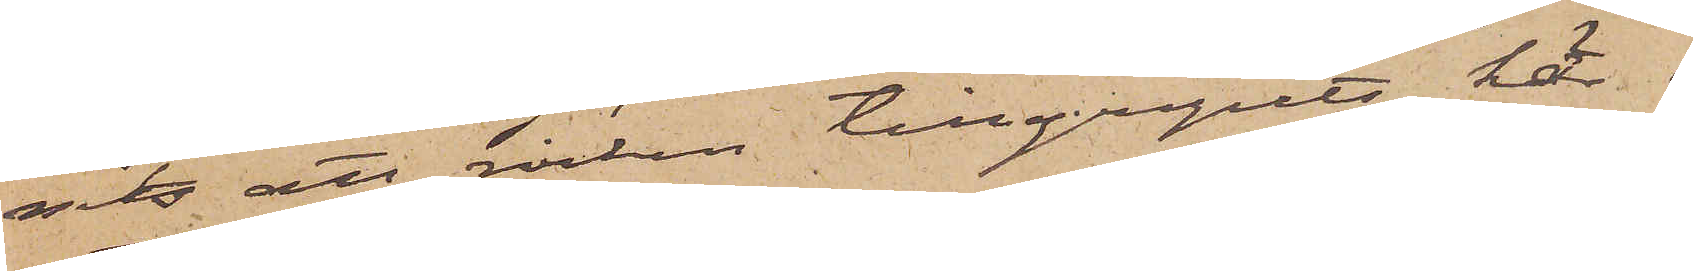nits att rocken tillgripits här i
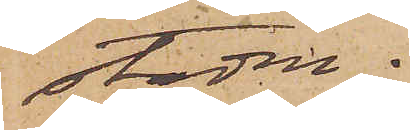staden.
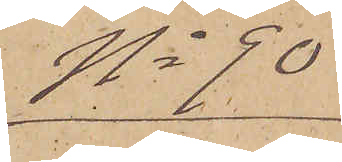No 90
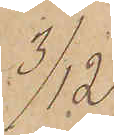3/12.
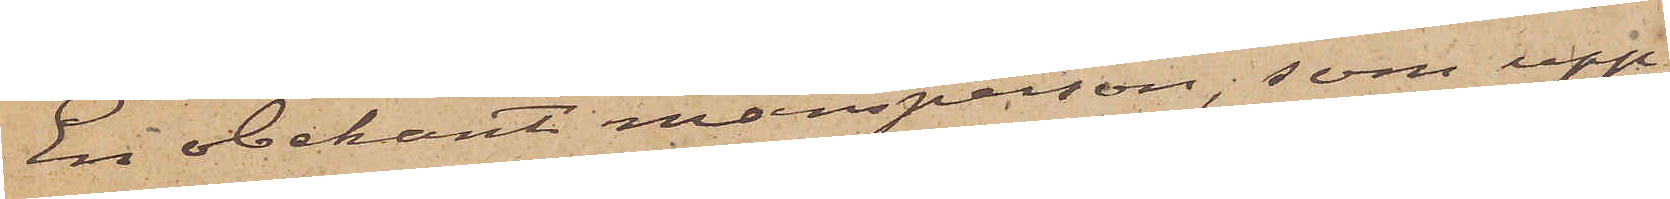En obekant mansperson, som upp¬
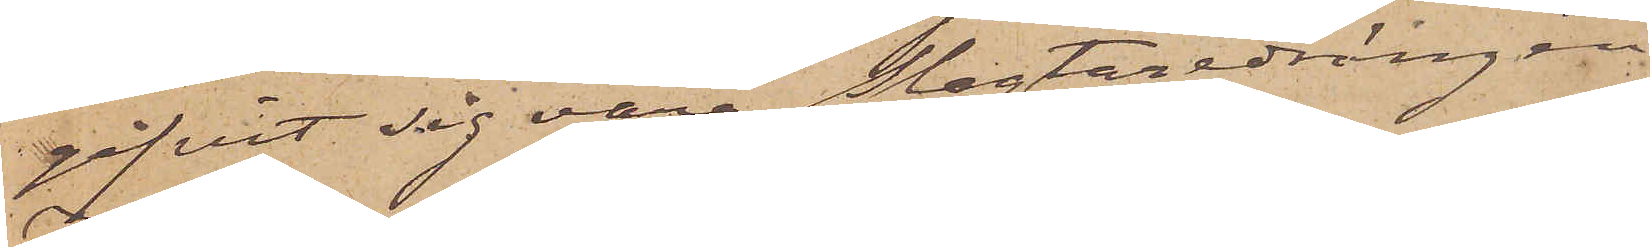gifvit sig vara Slagtaredrängen
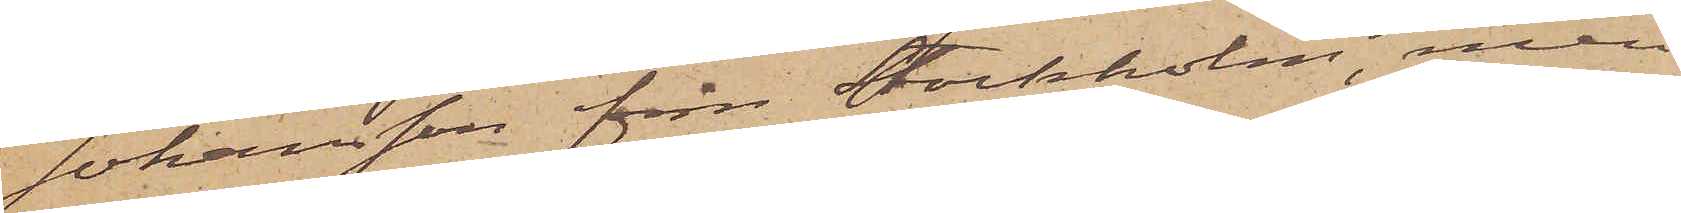Johansson från Stockholm, men
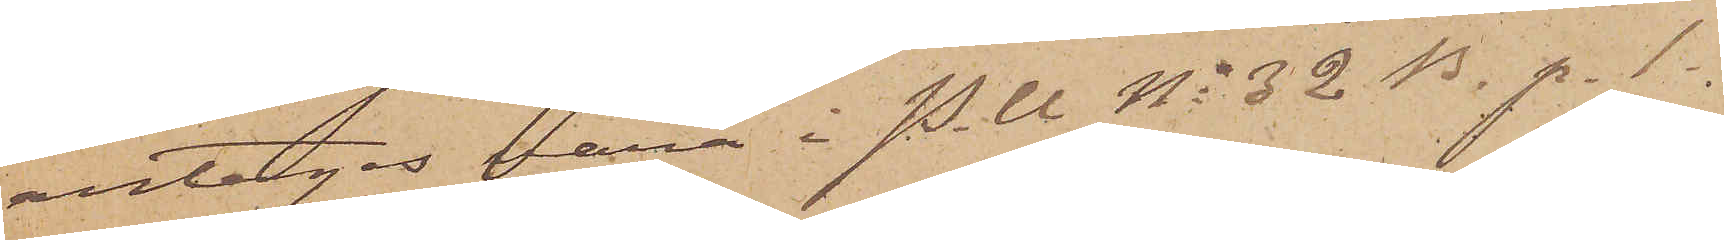antages vara i P. U No 32 B. p. 1.
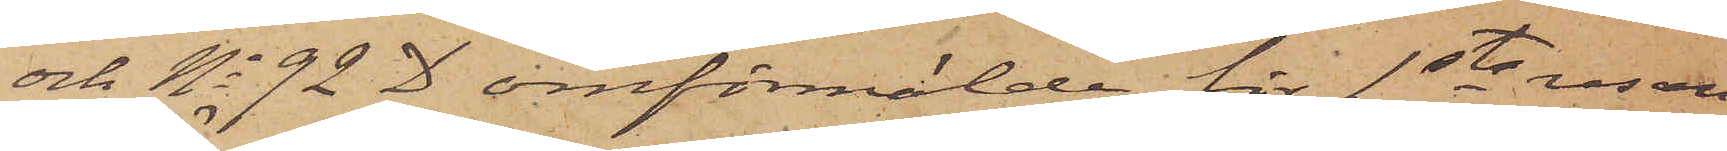och No 92 D omförmälde för 1sta resan
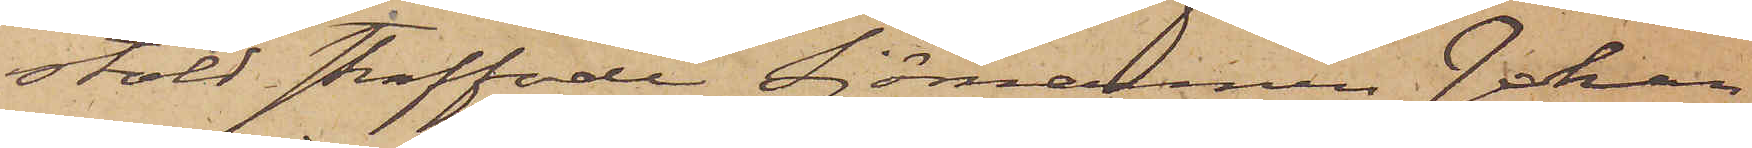stöld straffade sjömannen Johan
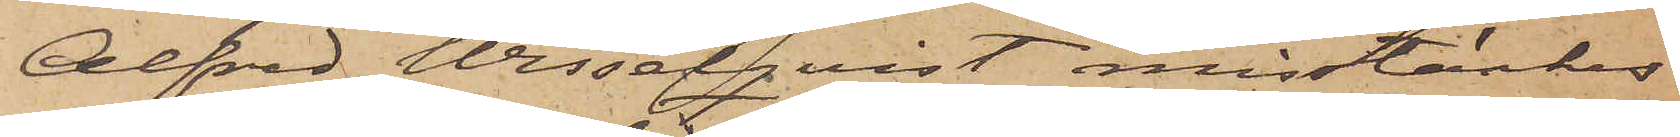Alfred Wisselqvist misstänkes
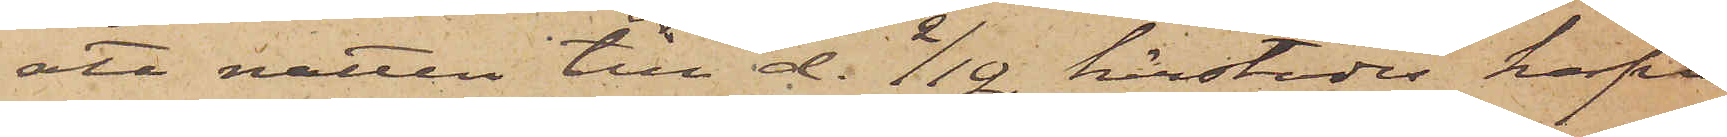att natten till d. 2/12 härstädes hafva
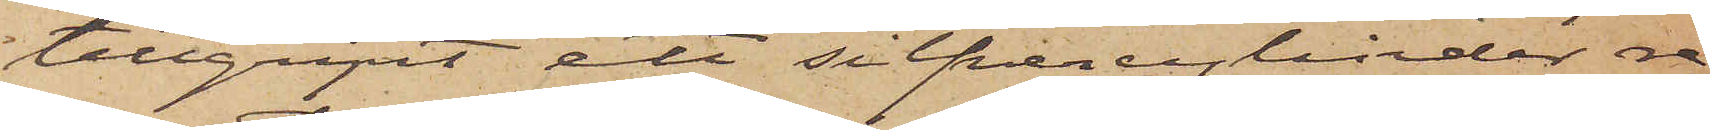tillgripit ett silfvercylinder re¬
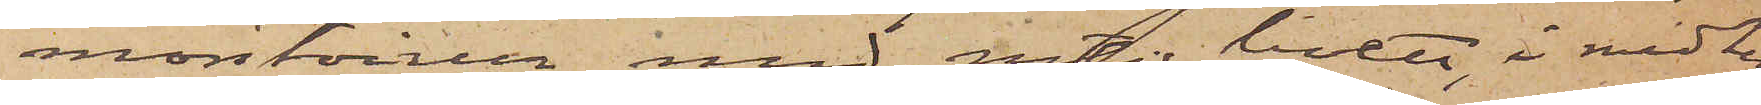montoirur med rutig boett, i midten
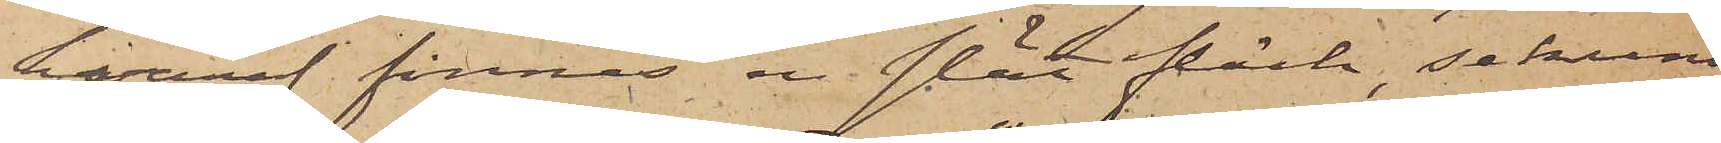hvaraf finnes en slät fläck, sekund¬
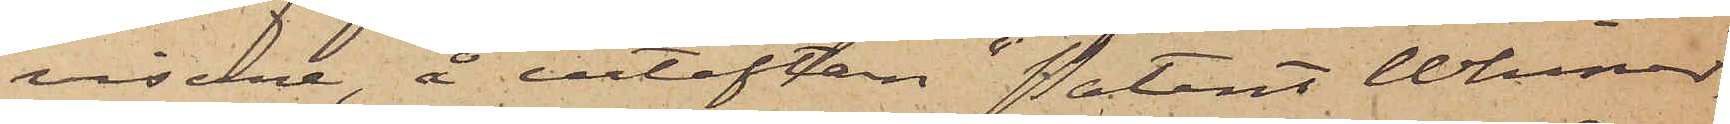visare, å urtaflan "Patent Whiner"
